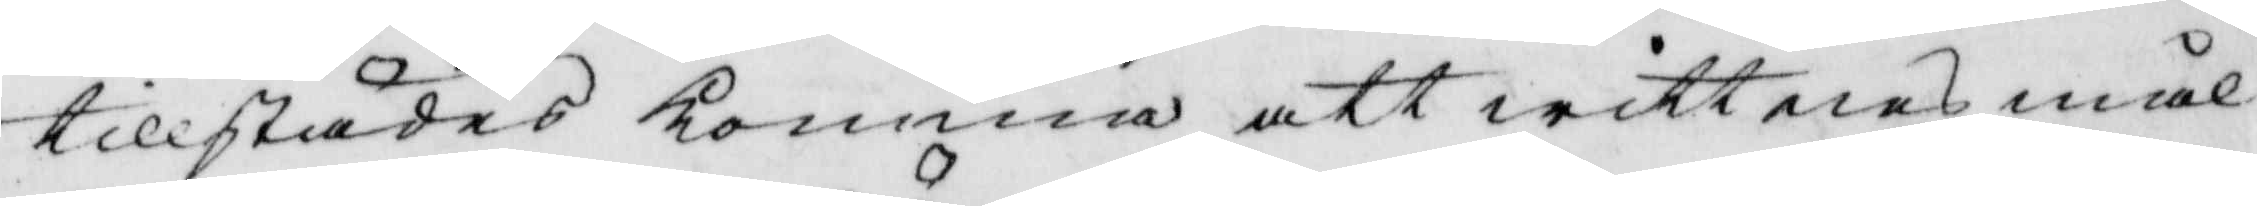tillstädes komma att wittnesmål
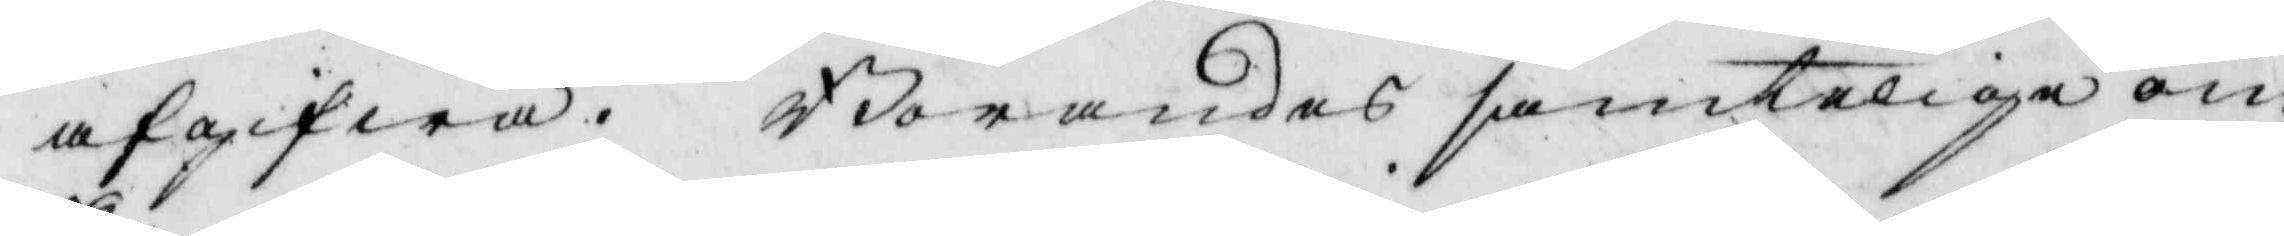afgifwa. Börandes samteliga om
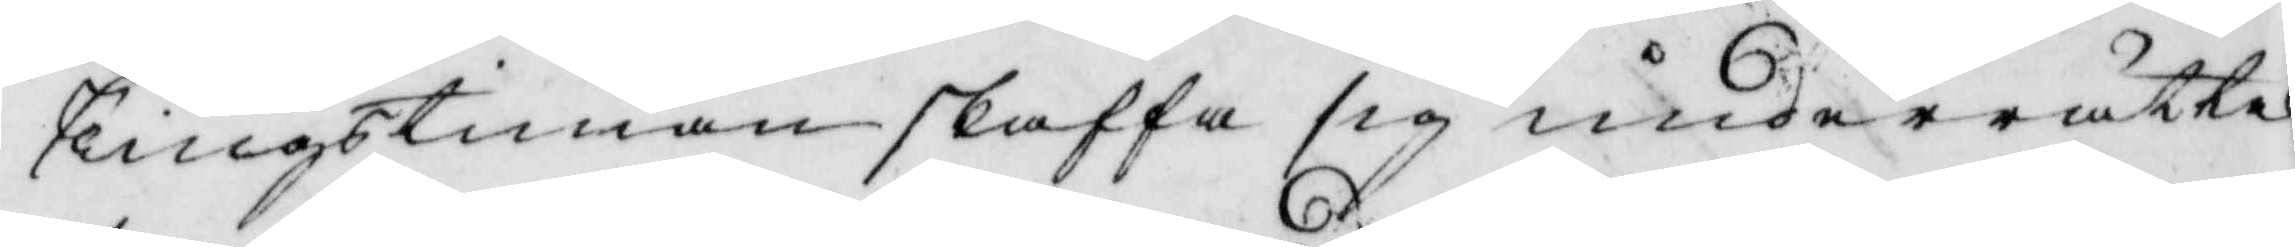Tingstiman skaffa sig underrättel¬
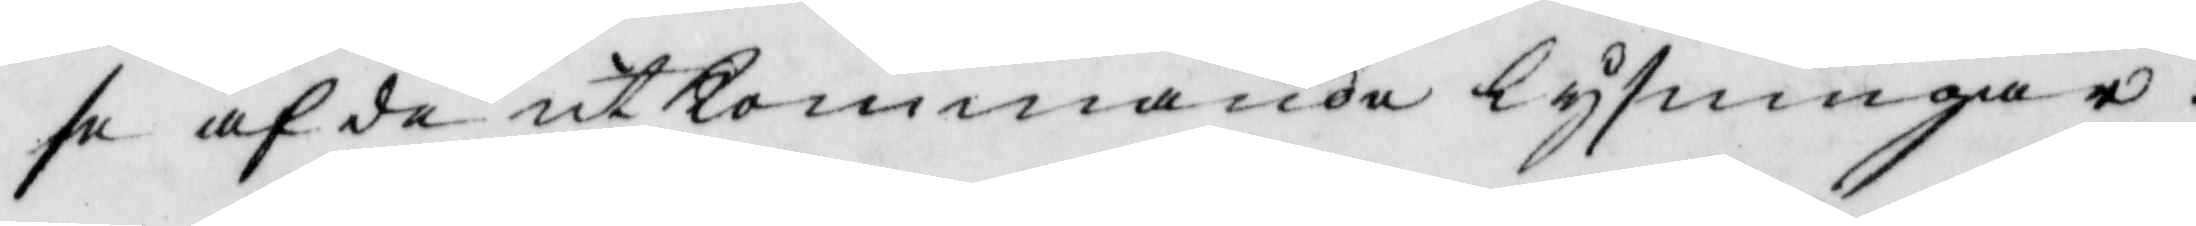se af de utkommande lysningar.
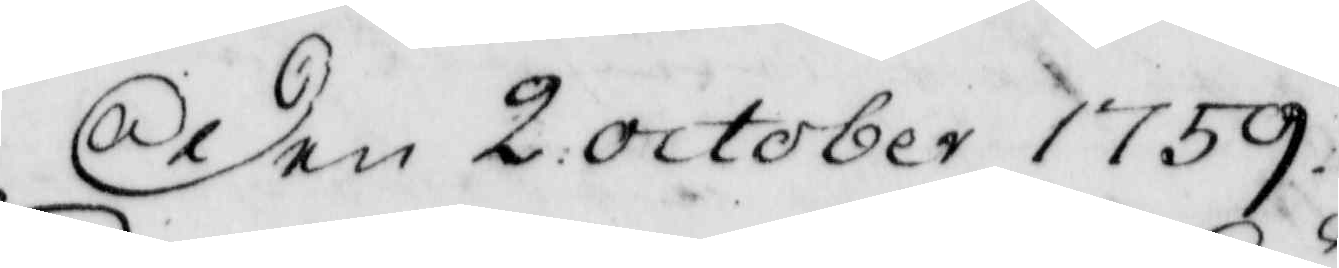den 2 October 1759.
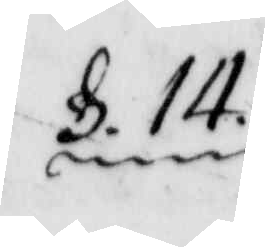§ 14.
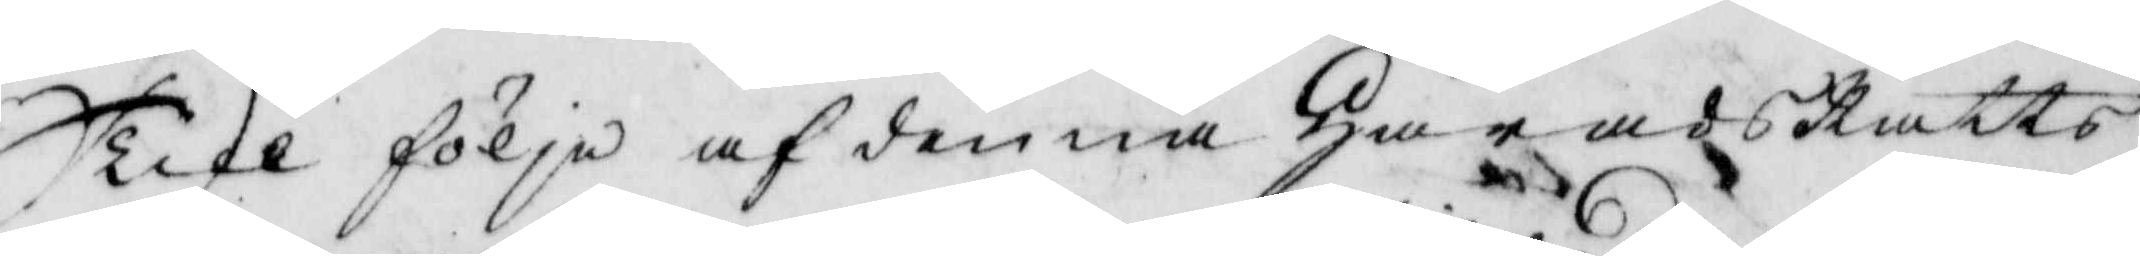Till följe af denna HäradzRätts
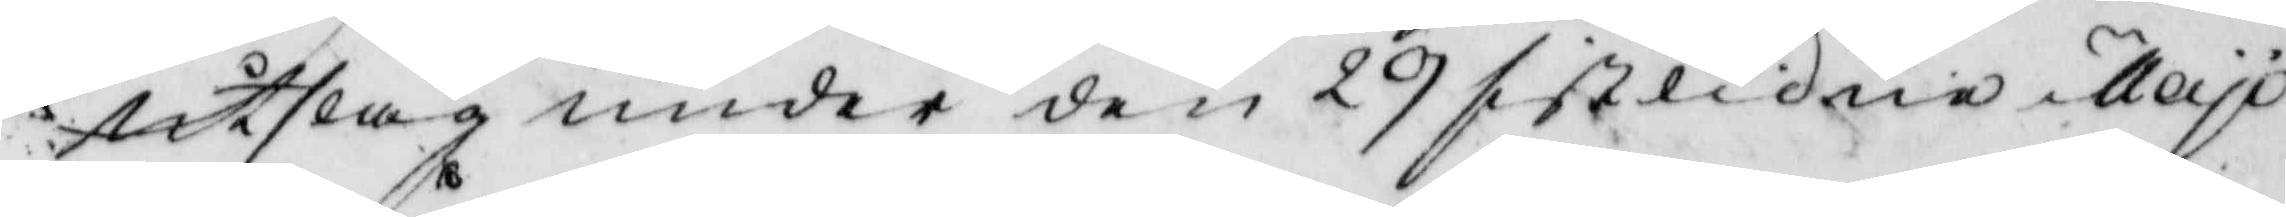Utslag under den 29 sistledne Maji
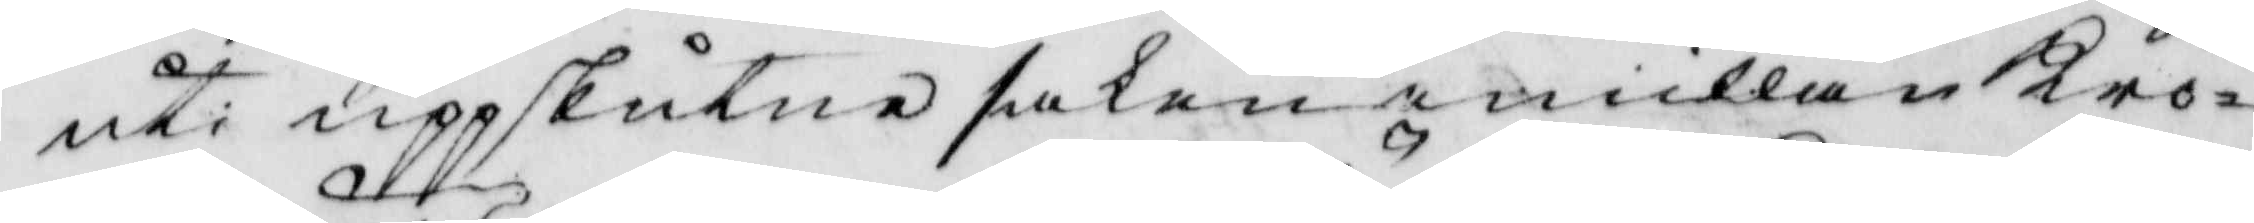uti uppskutne saken emillan Kro¬
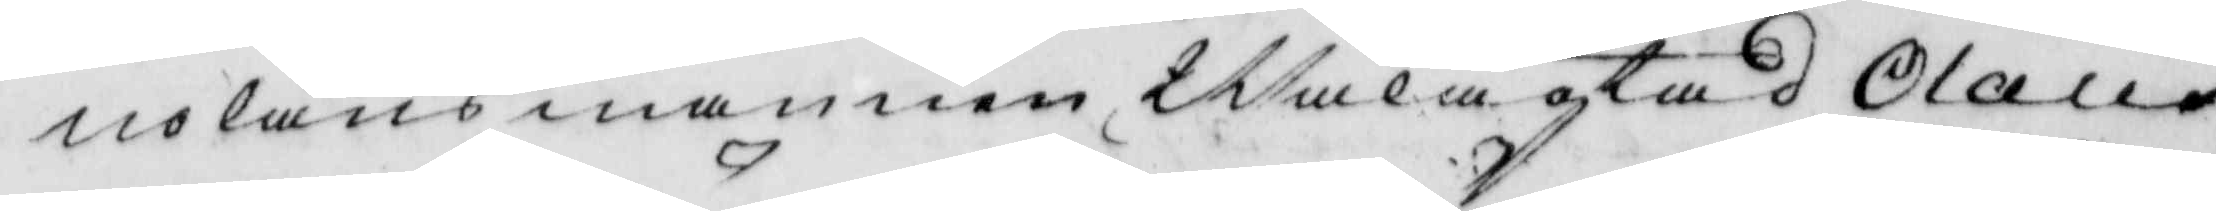nolänsmannen Wälagtad Olaus
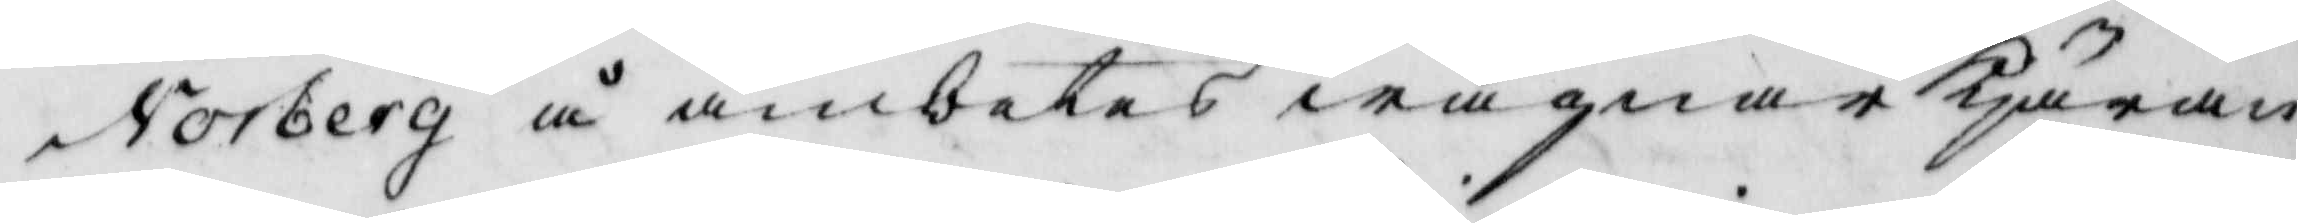Norberg å ämbetes wägnar Käran¬
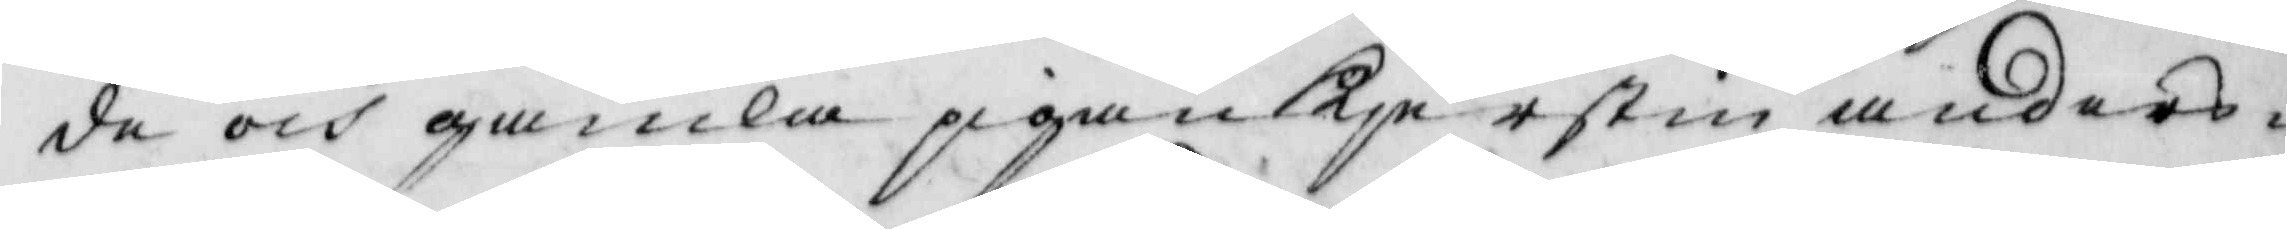de och gamla pigan Kierstin anders¬
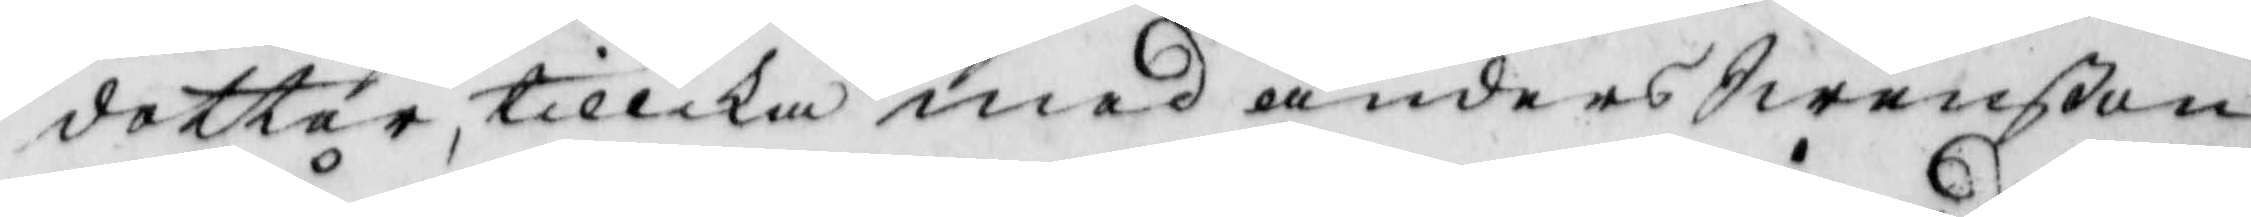dotter, tillika med anders Swenßon
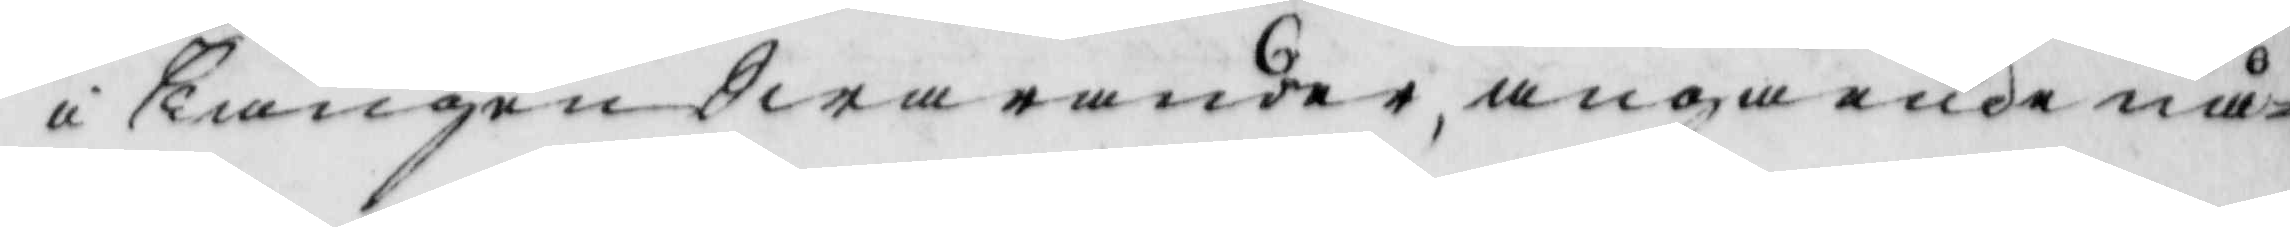i Leången Swarande, angående nå¬
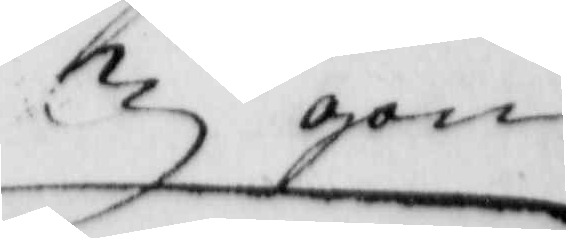gon
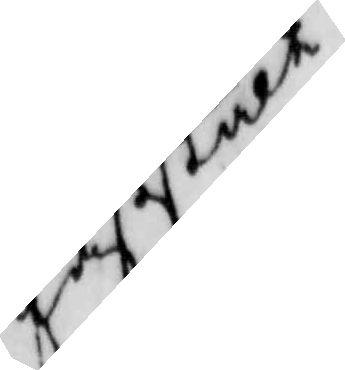faststält
